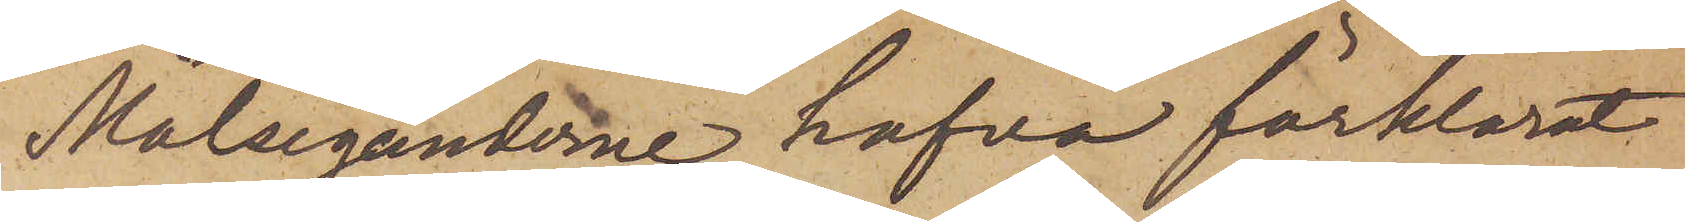Målseganderne hafva förklarat
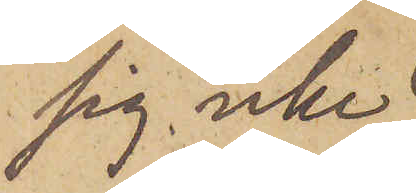sig icke
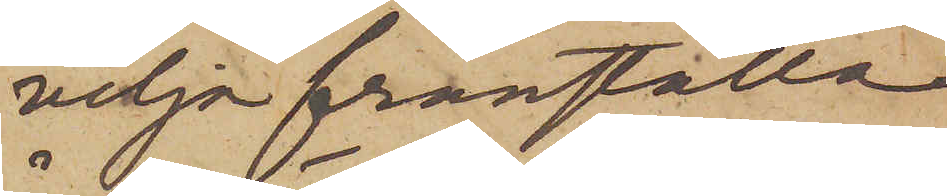vilja franställa
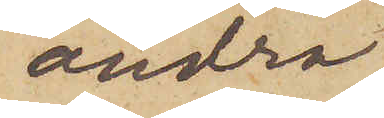andra
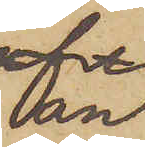an¬
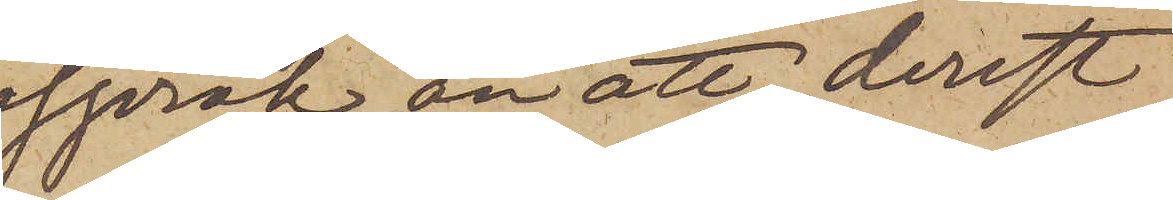språk än att, derest
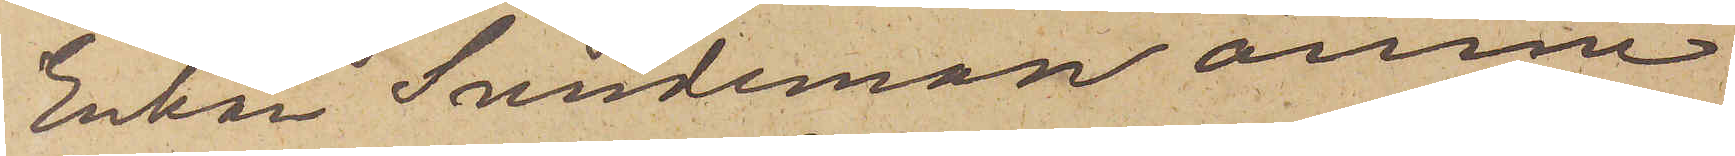Enkan Sundeman ännu
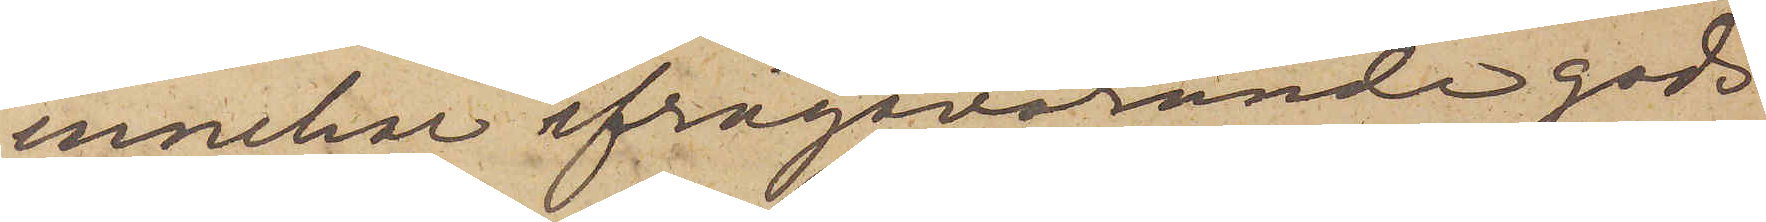innehar ifrågavarande gods
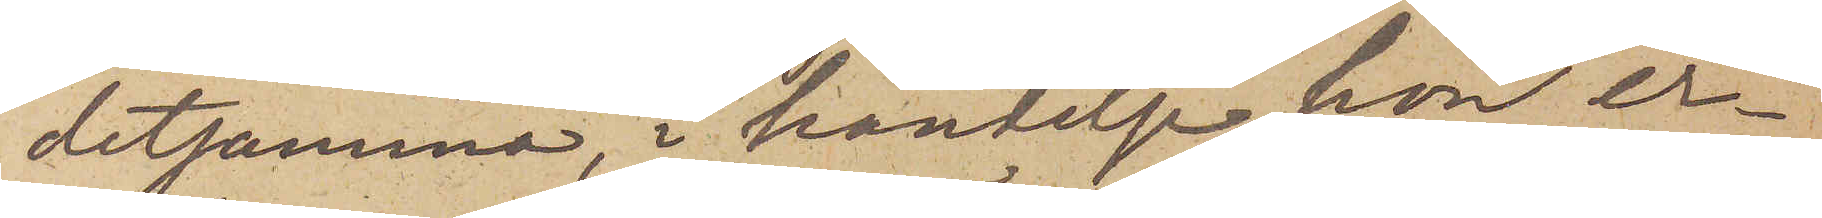detsamma, i händelse hon er¬
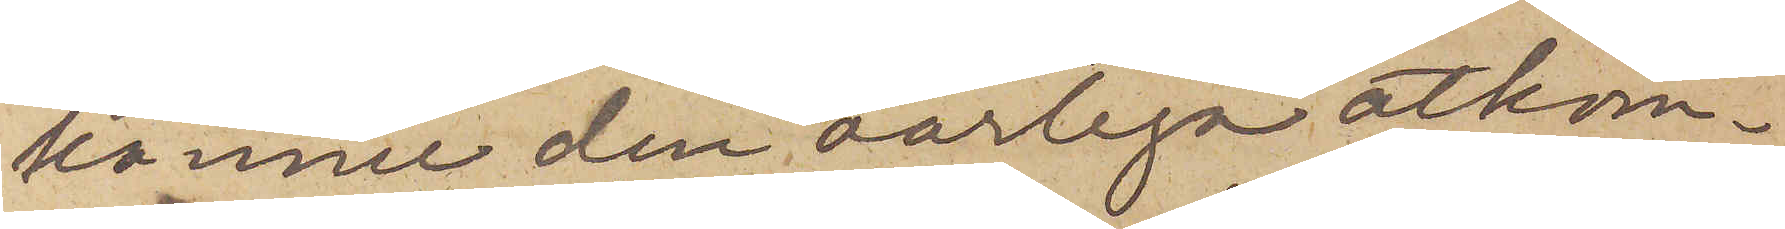känner den oärliga åtkom¬
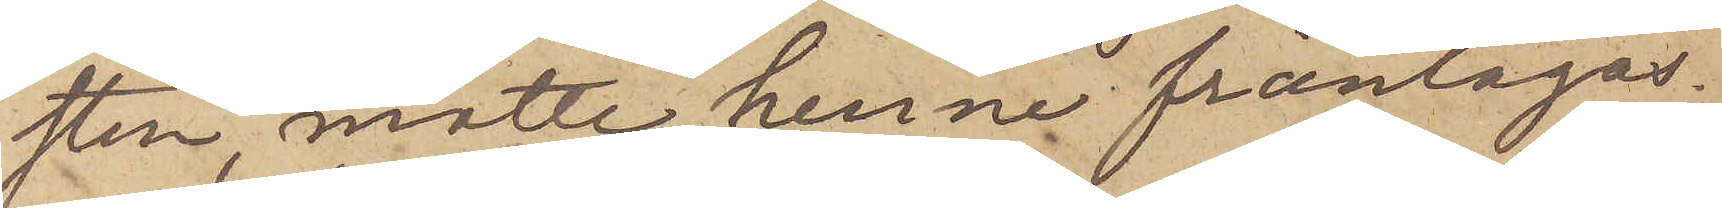sten, måtte henne fråntagas
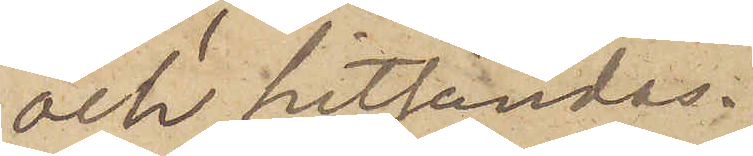och hitsändas.
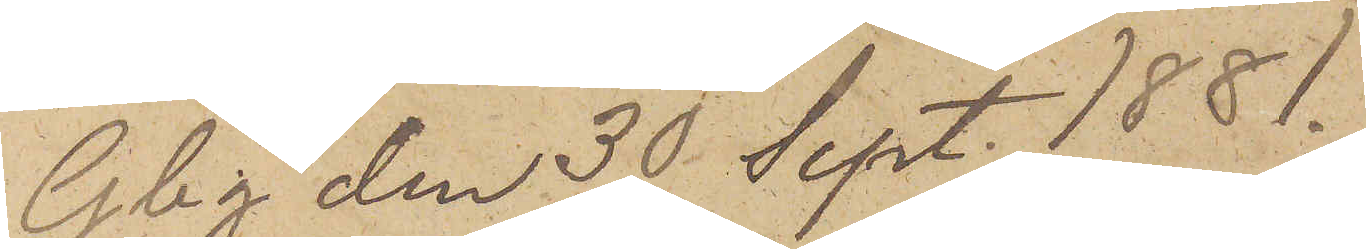Gbg den 30 Sept. 1881.
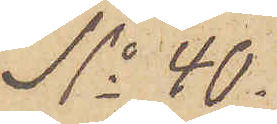No 40.
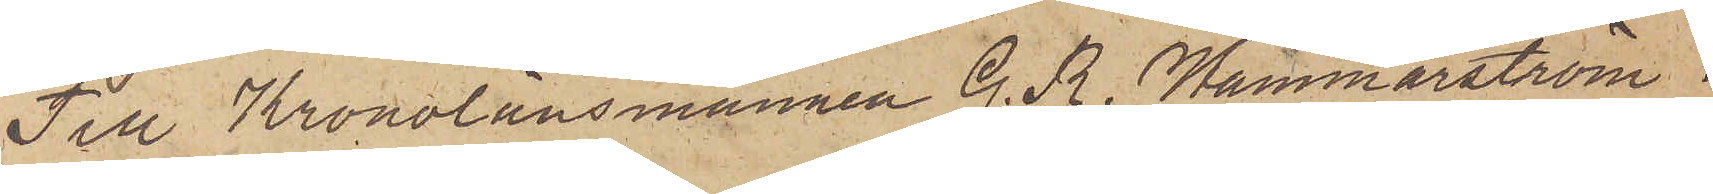Till Kronolänsmannen G. R. Hammarström.
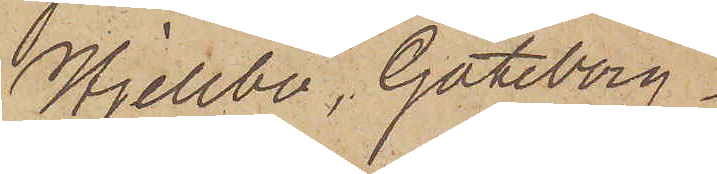Hjellbo, Göteborg
